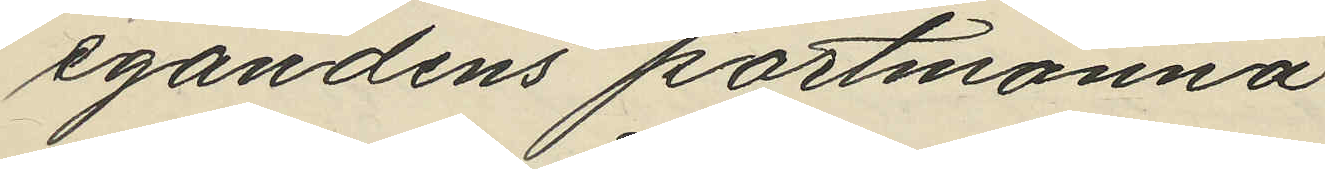egandens portmonnä
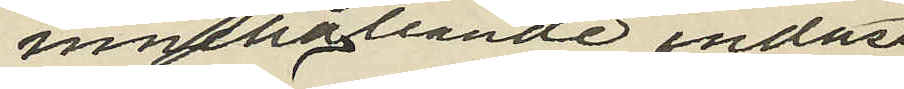innehållande endast
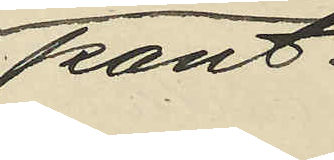pant¬
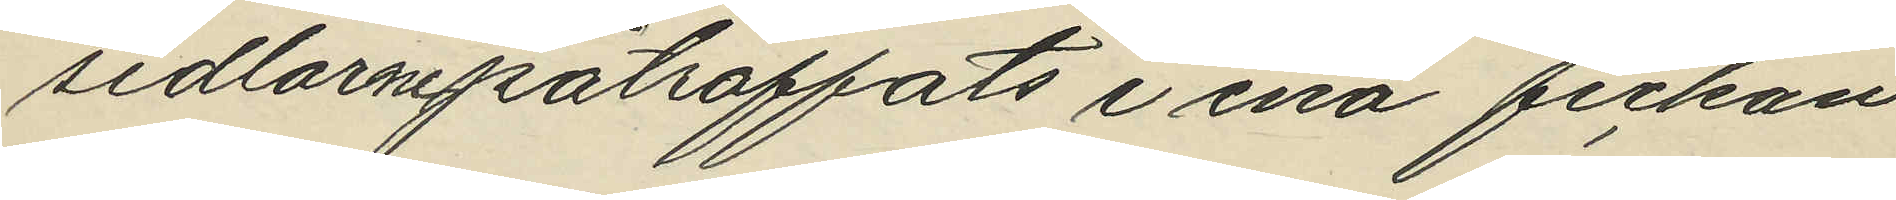sedlarne påträffats i ena fickan
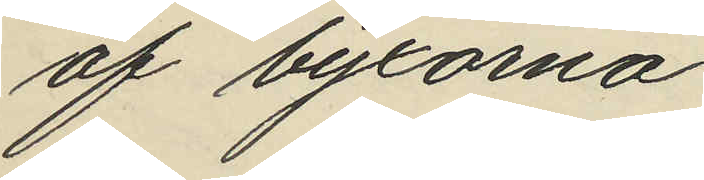af byxorna.
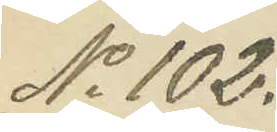No 102.
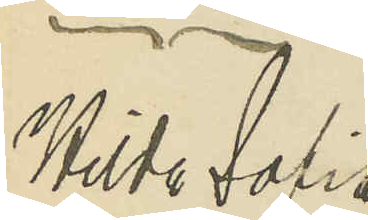Hilda  Sofia
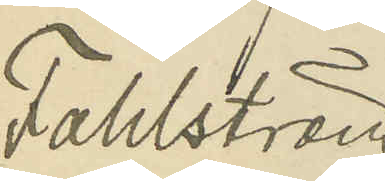Fahlström.
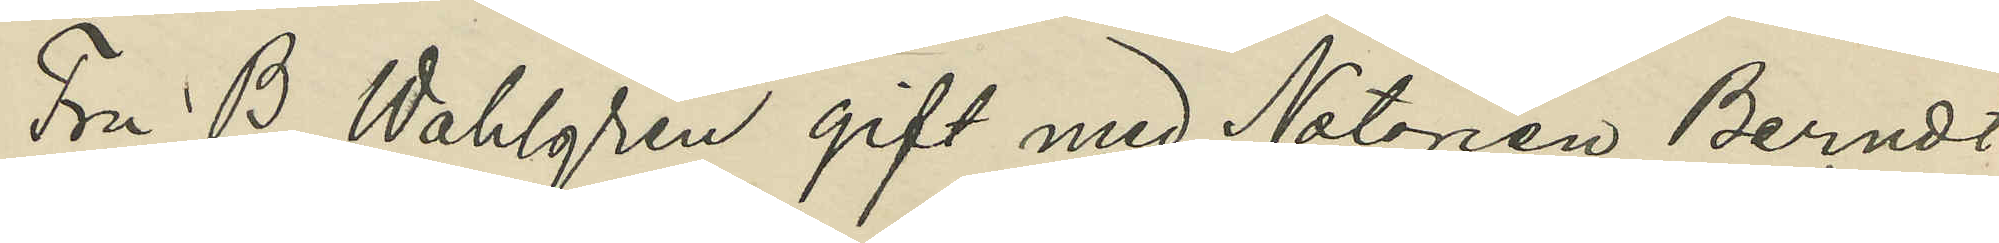Fru B Wahlgren gift med Notarien Berndt
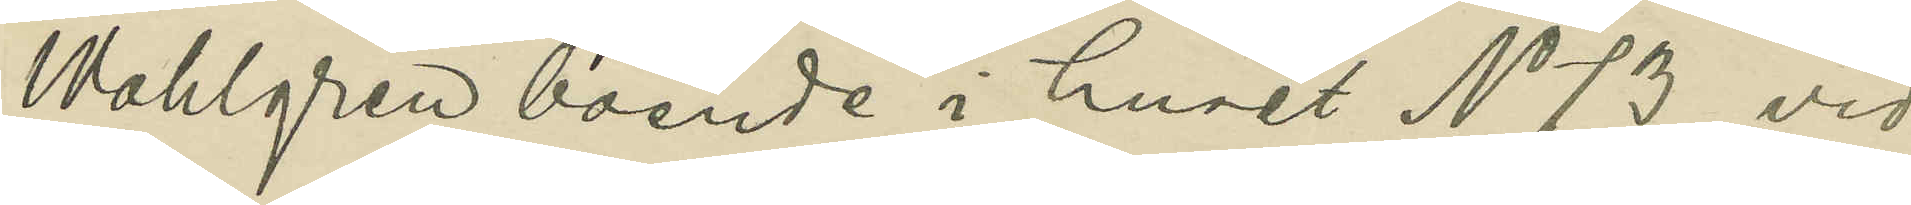Wahlgren boende i huset No 73 vid
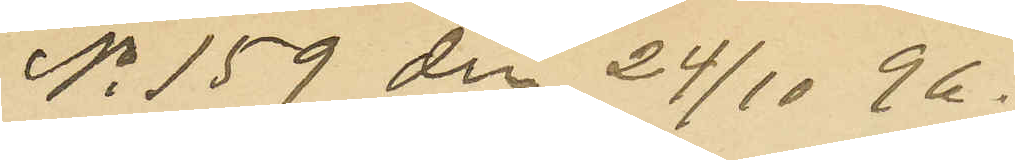No 159 den 24/10 96.
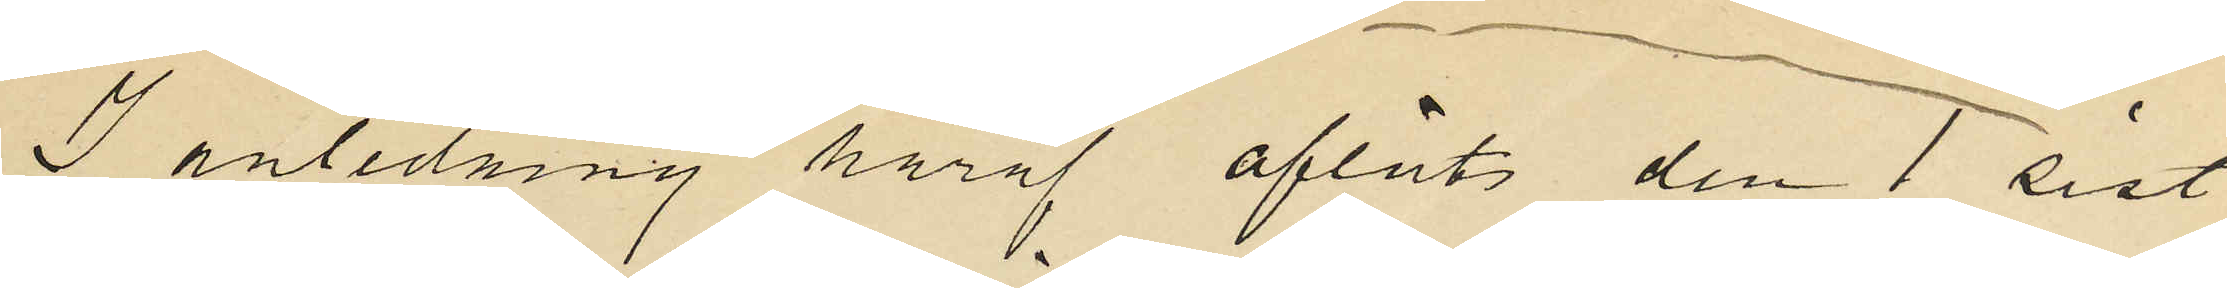I anledning häraf aflåts den 1 sist
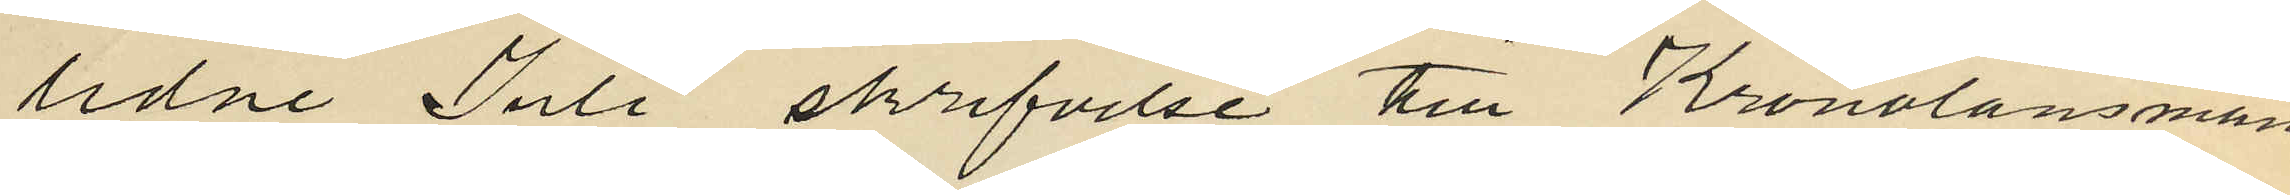lidne Juli skrifvelse till Kronolänsman
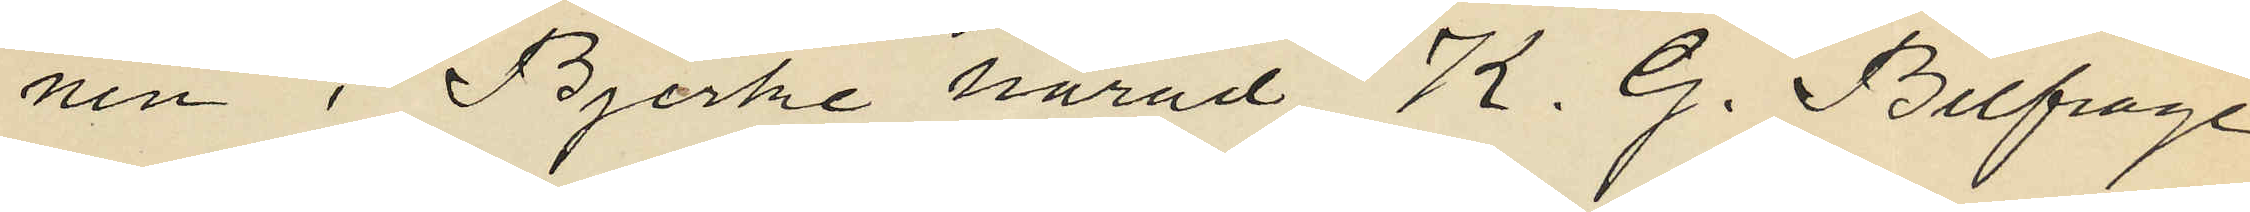nen i Bjerke härad K. G. Belfrage
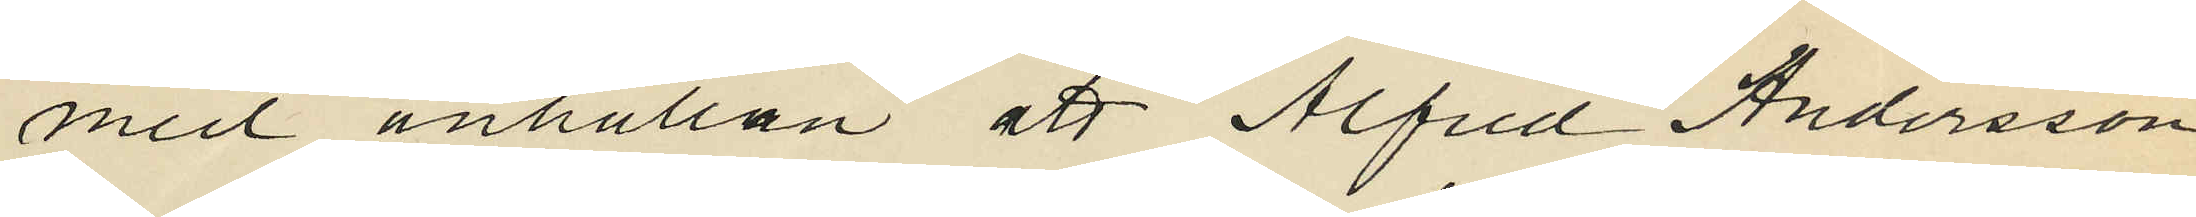med anhållan att Alfred Andersson
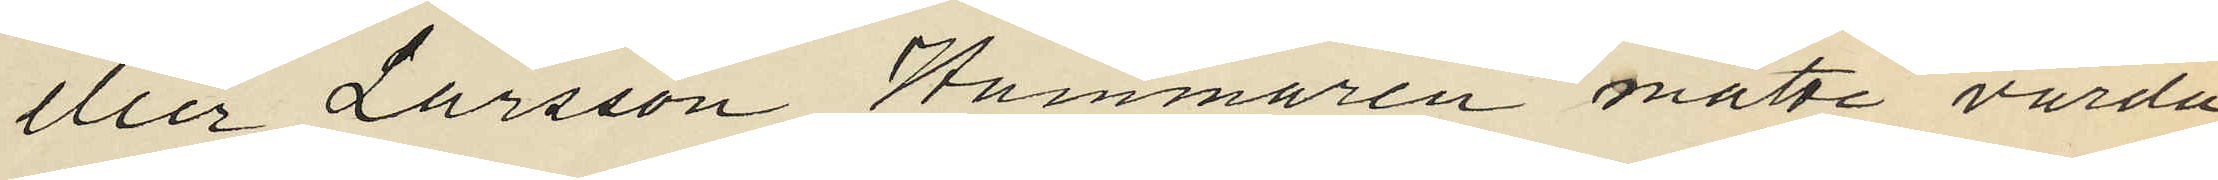eller Larsson Hammarén måtte varda
